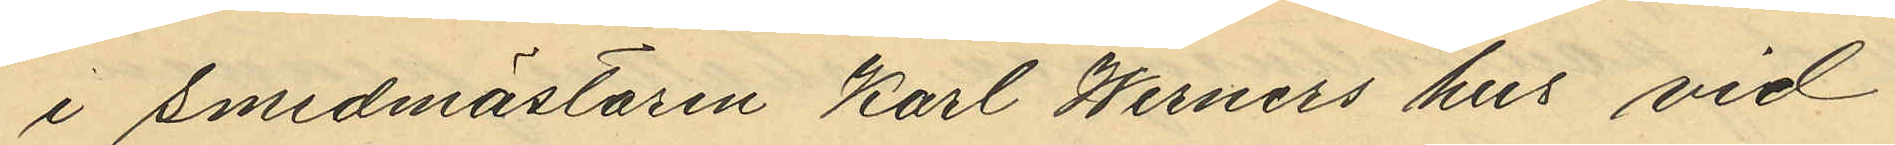i Smedmästaren Karl Werners hus vid
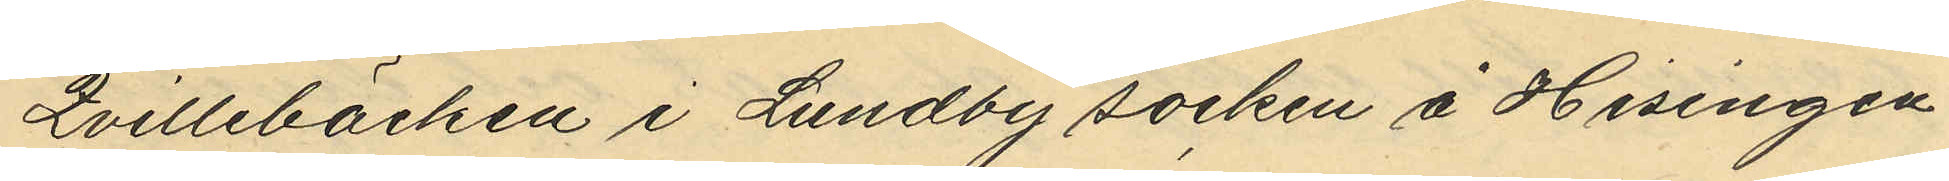Qvillebäcken i Lundby socken å Hisingen
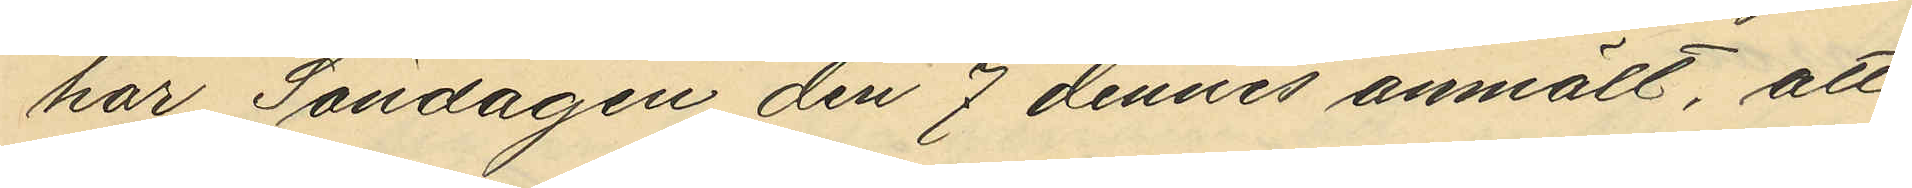har Söndagen den 7 dennes anmält, att
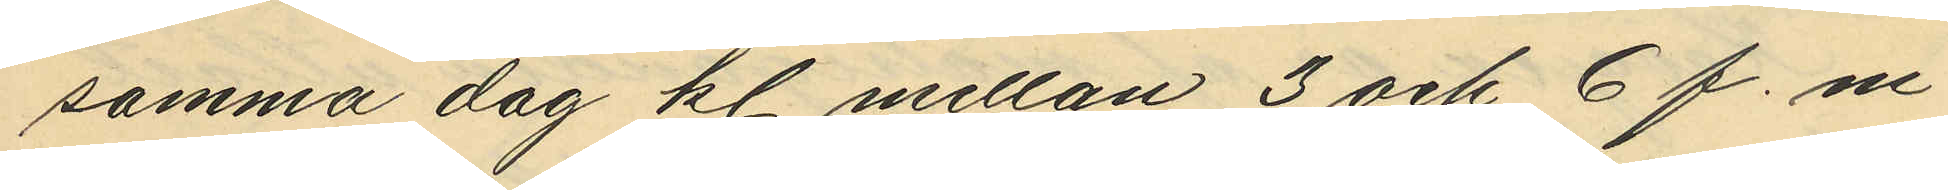samma dag kl. mellan 3 och 6 f. m.
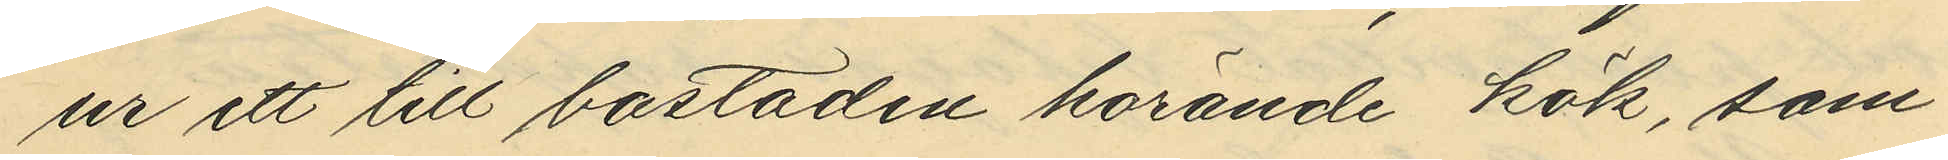ur ett till bostaden hörande kök, som
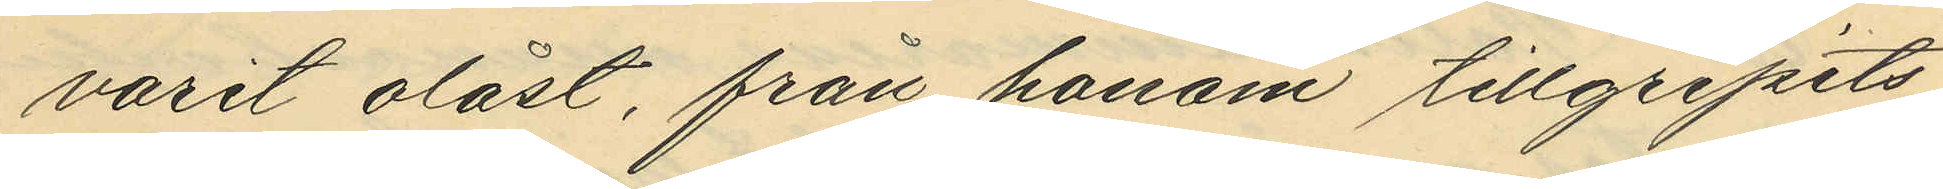varit olåst, från honom tillgripits
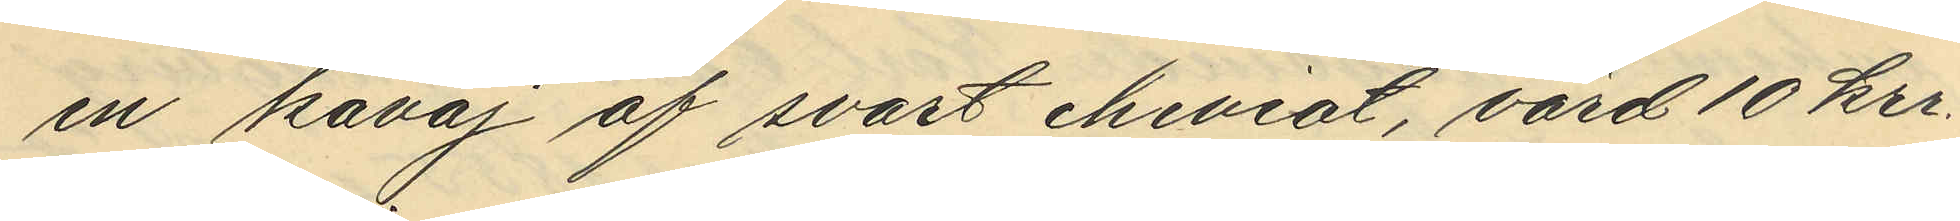en kavaj af svart cheviot, värd 10 kr.
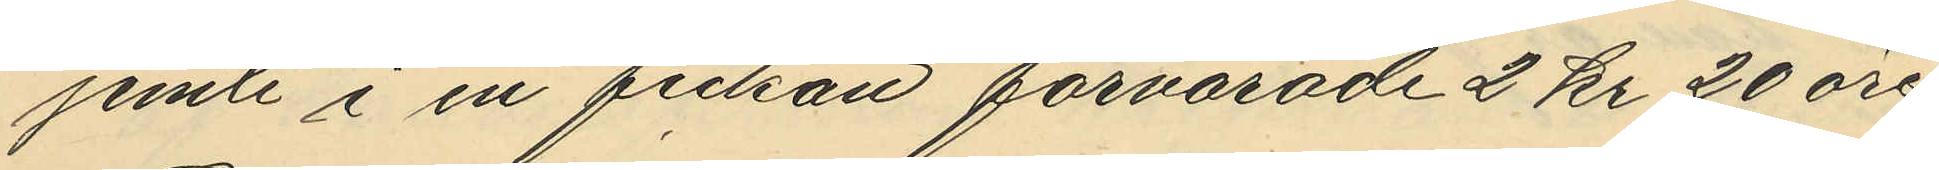jemte i en fickan förvarade 2 kr 20 öre.
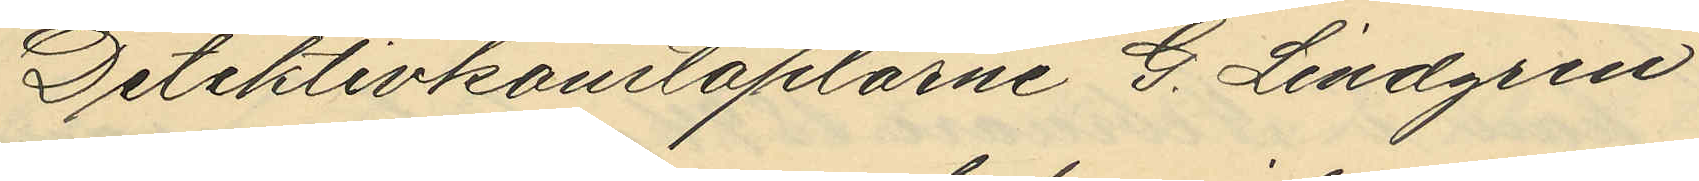Detektivkonstaplarne G. Lindgren
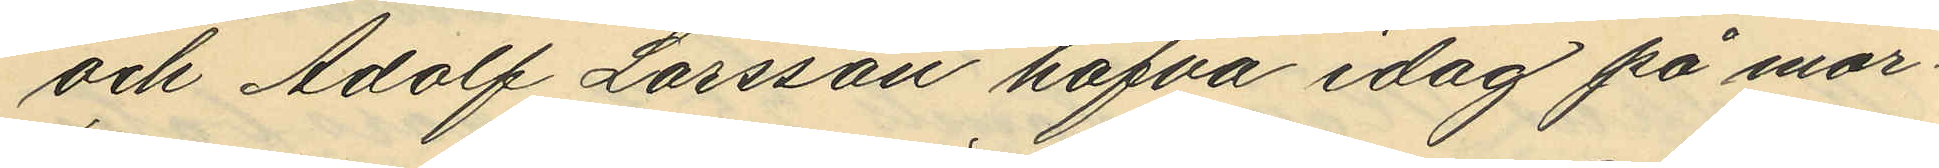och Adolf Larsson hafva idag på mor¬
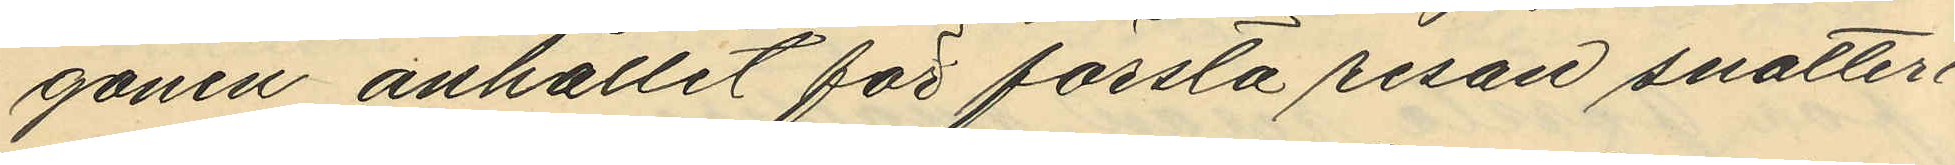gonen anhållit för första resan snatteri
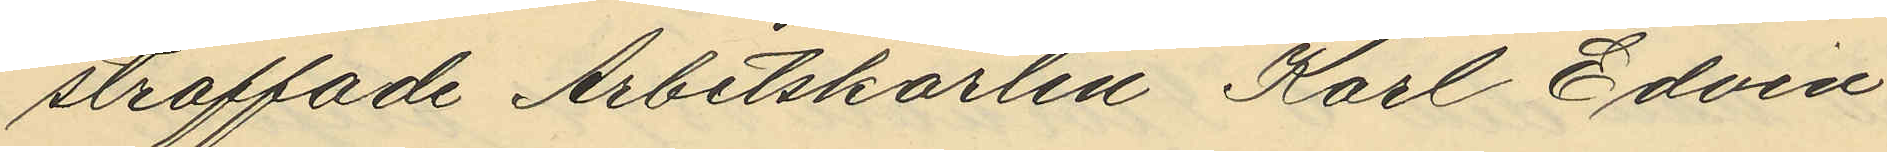straffade Arbetskarlen Karl Edvin
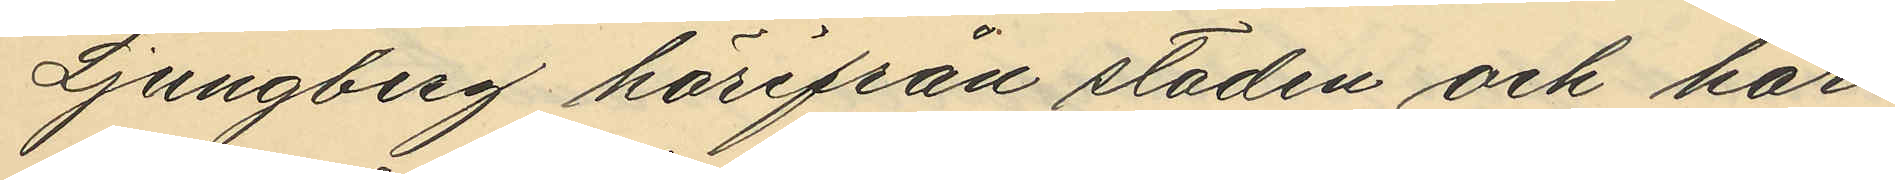Ljungberg härifrån staden och har
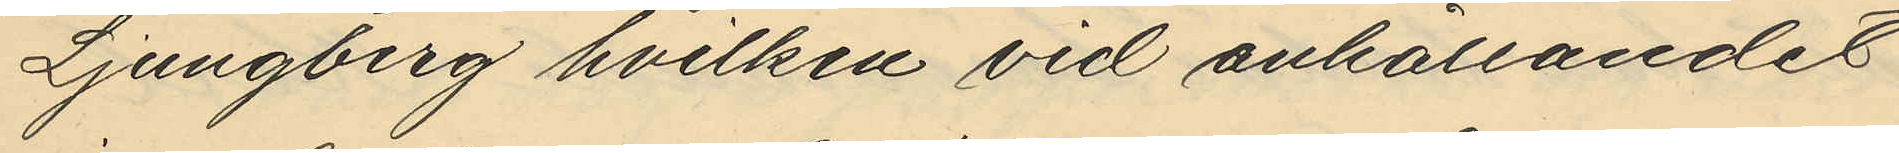Ljungberg hvilken vid anhållandet
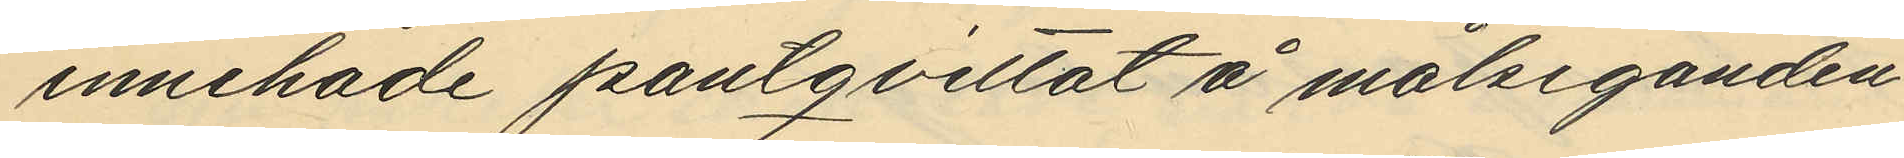innehade pantqvittot å målseganden
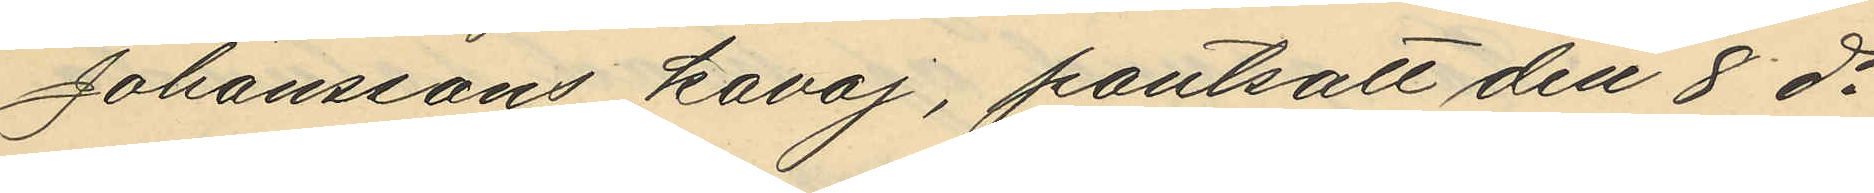Johanssons kavaj, pantsatt den 8 ds
